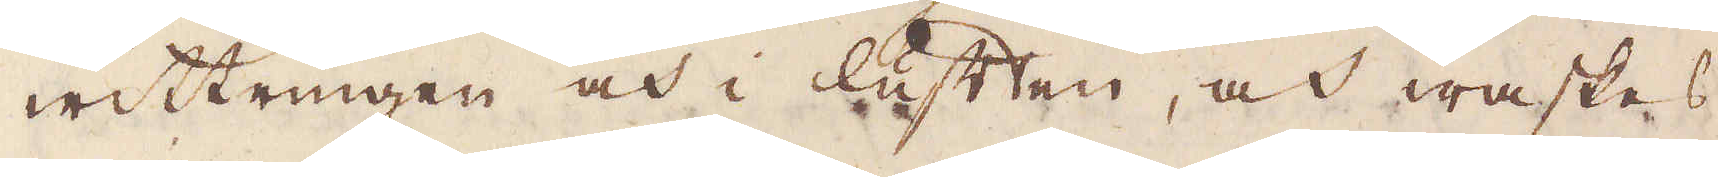wittringen och i luften, och waskas
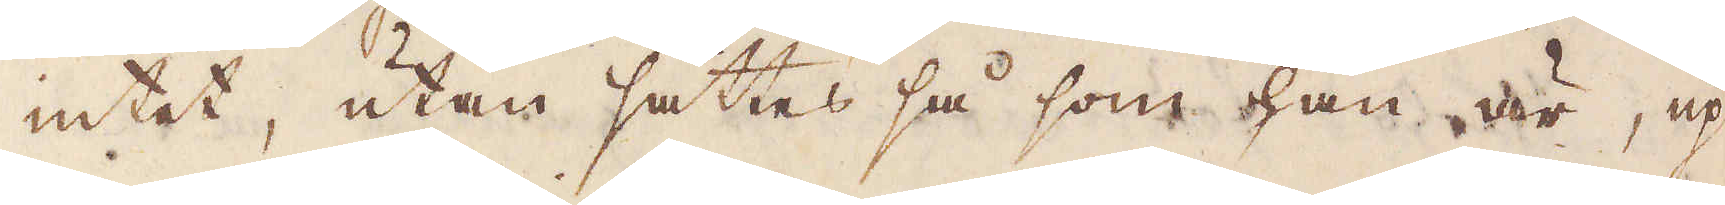intet, utan sättes så som han är, up-
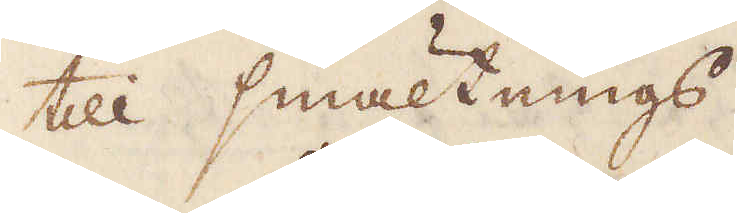till smältnings.
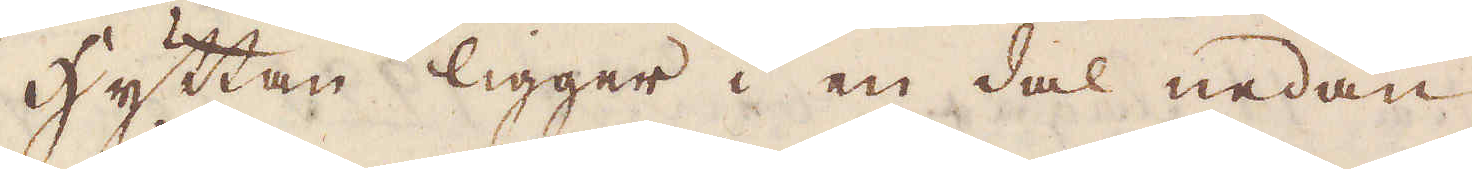Hyttan ligger i en dal nedan
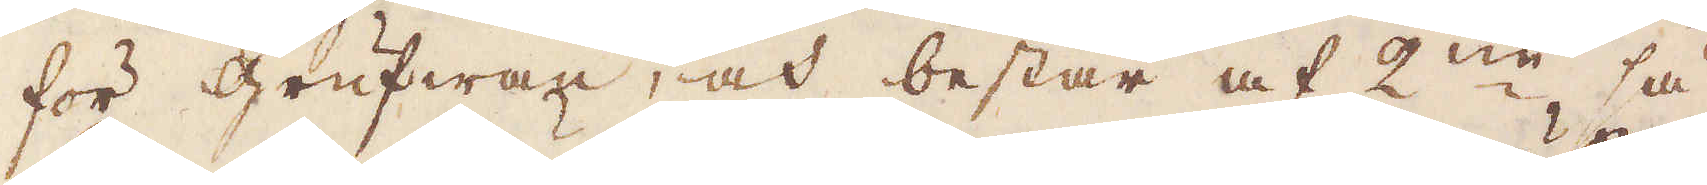för grufwan, och består af 2:ne, så
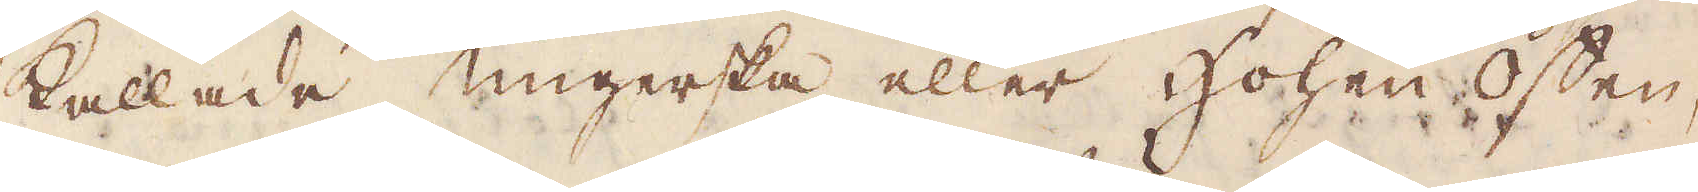kallade ungerska eller Hohen offen,
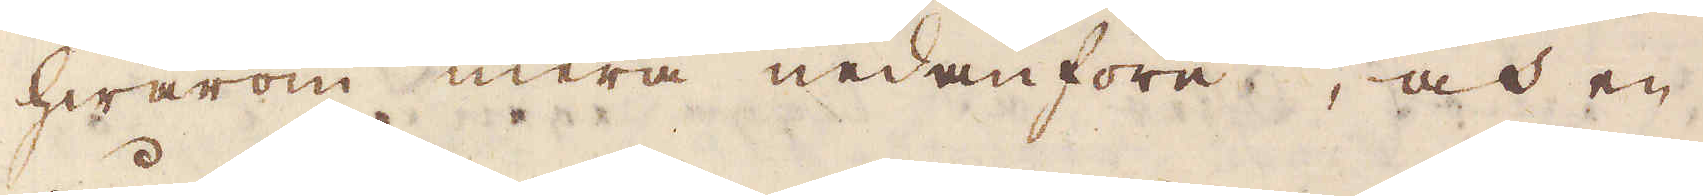hwarom mera nedanföre, och en
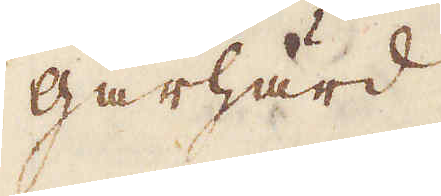gårhärd.
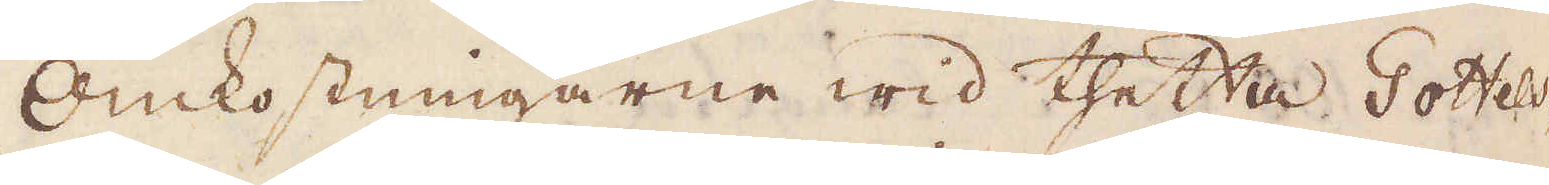Omkostningarne wid thetta Gottels-
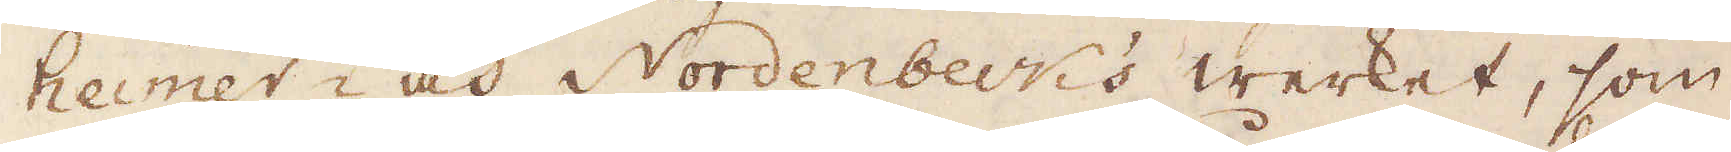heimer- och Nordenbeuk's werket, som
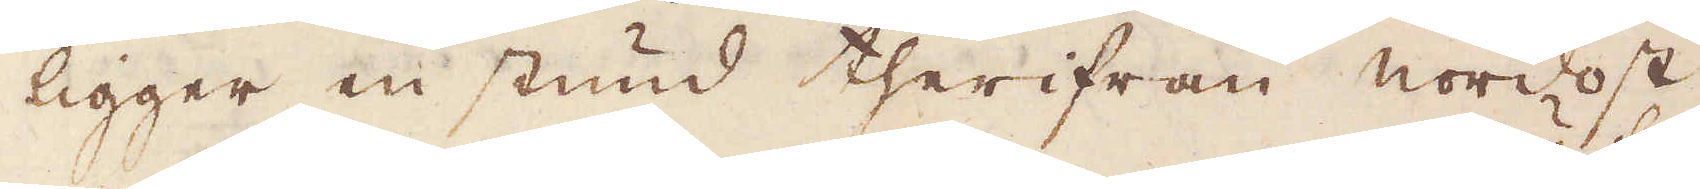ligger en stund therifrån nordost
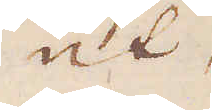ut
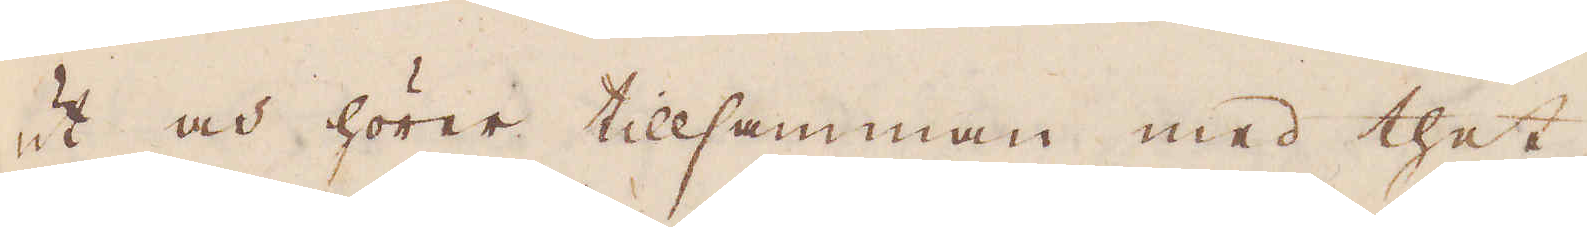ut och hörer tillsamman med thet
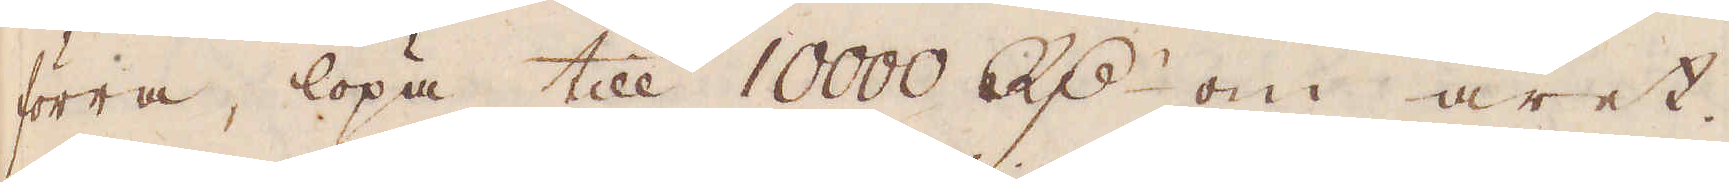förra, löpa till 10000 R:dr om året.
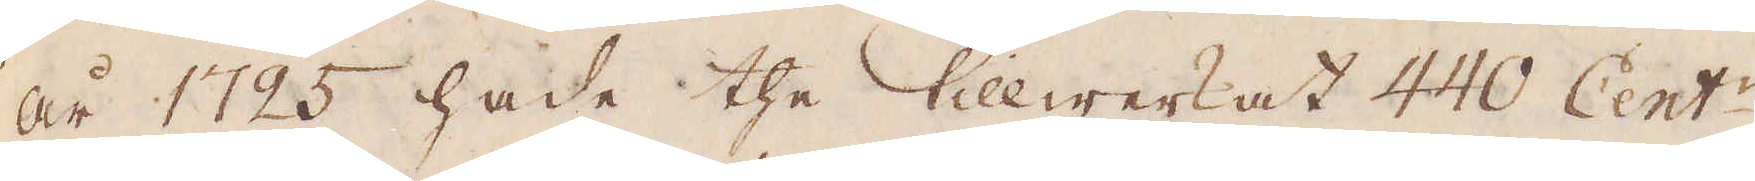År 1725 hade the tillwerkat 440 Cent:r
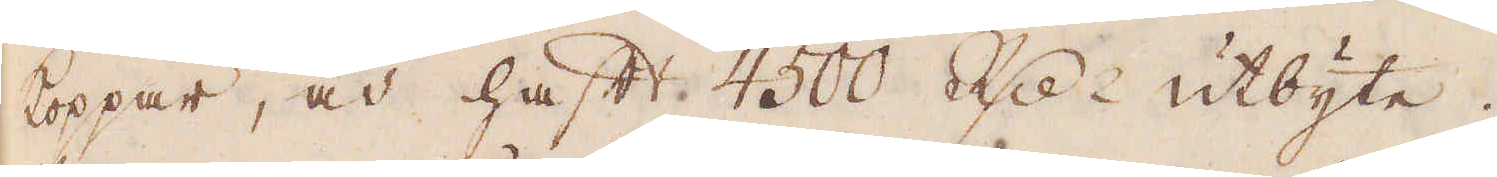koppar, och haft 4500 R:dr utbyte.
